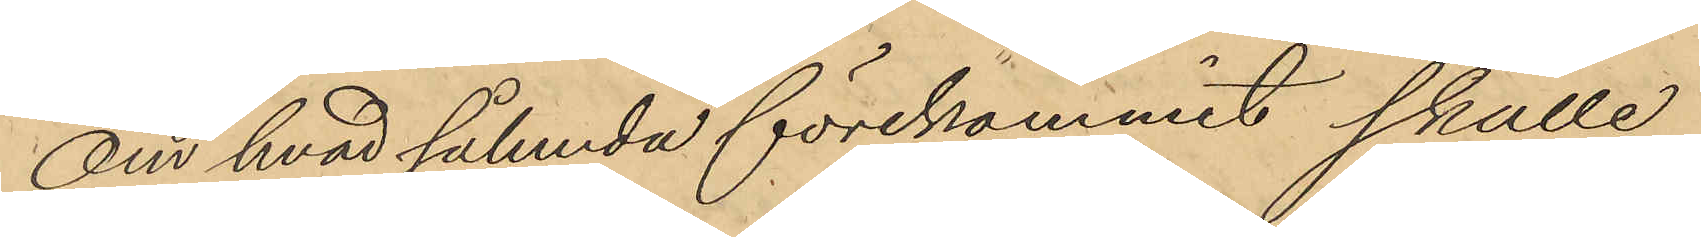Om hvad sålunda förekommit skulle
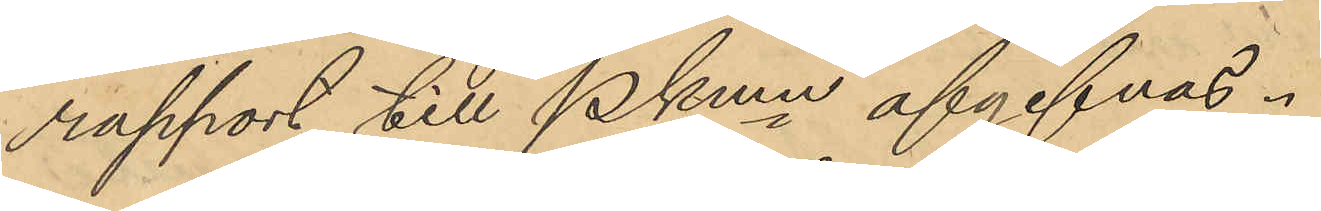rapport till Pkmn afgifvas.
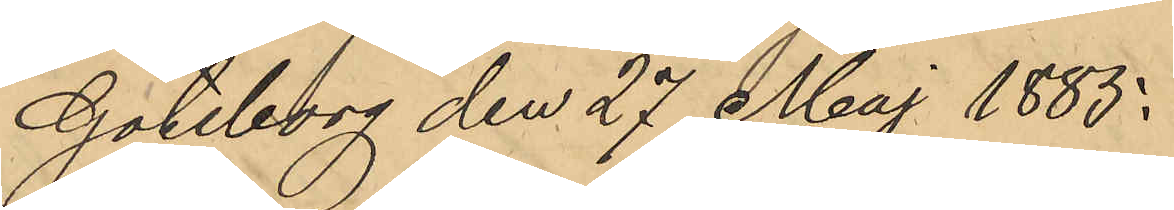Göteborg den 27 Maj 1885.
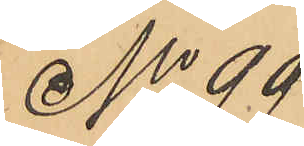No 99
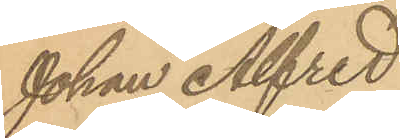Johan Alfred
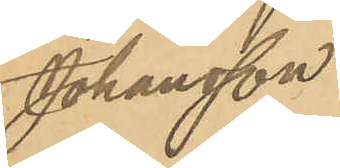Johansson
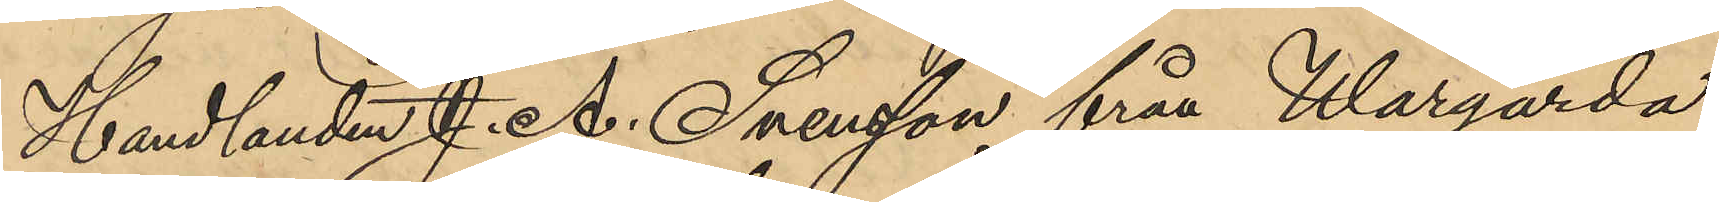Handlanden J. A. Svensson från Wårgårda
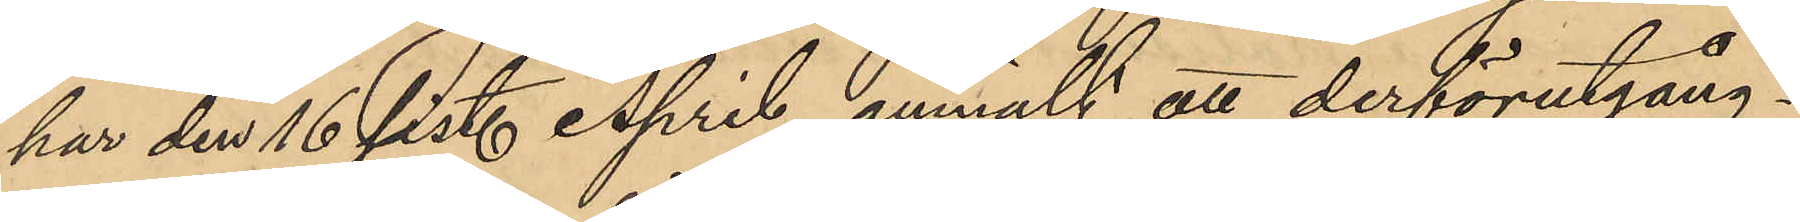har den 16 sist. April anmält att derförutgång¬
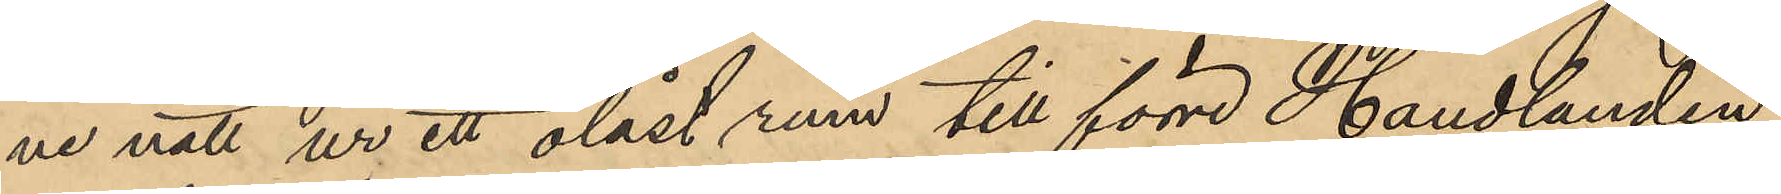ne natt ur ett olåst rum till förre Handlanden
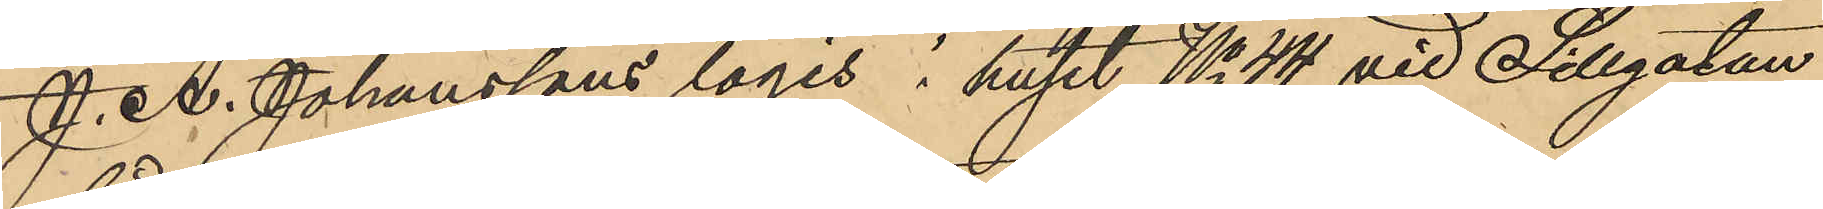J. A. Johanssons logis i huset No 44 vid Sillgatan,
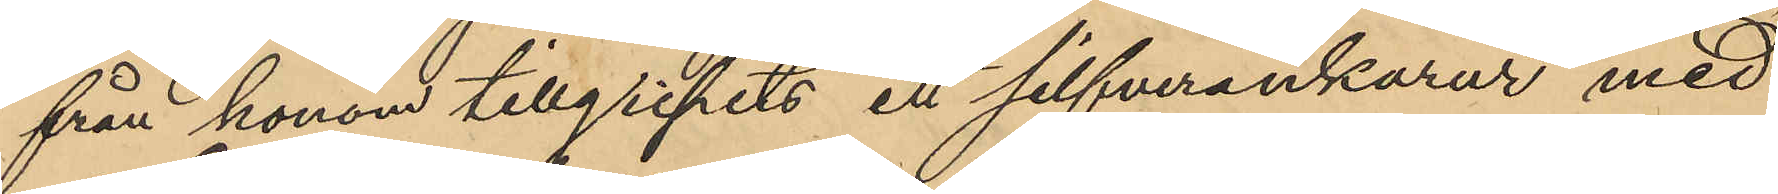från honom tillgripits ett silfverankarur med
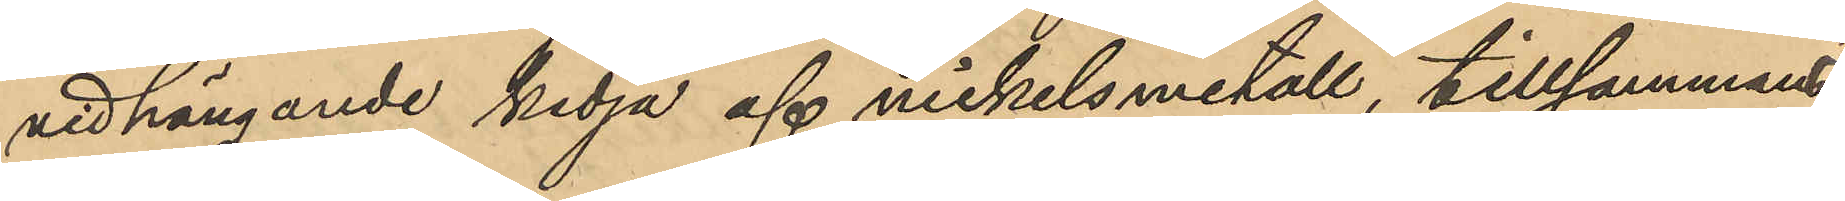vidhängande kedja af nickelsmetall, tillsammans
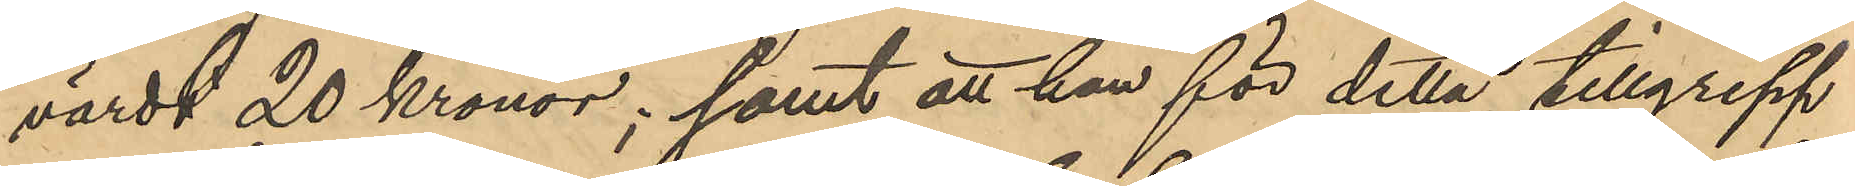värdt 20 Kronor; samt att han för detta tillgrepp
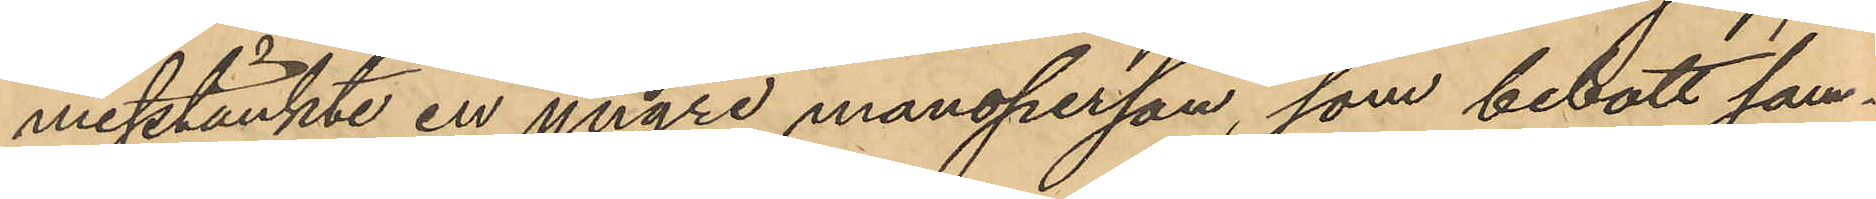misstänkte en yngre mansperson, som bebott sam¬
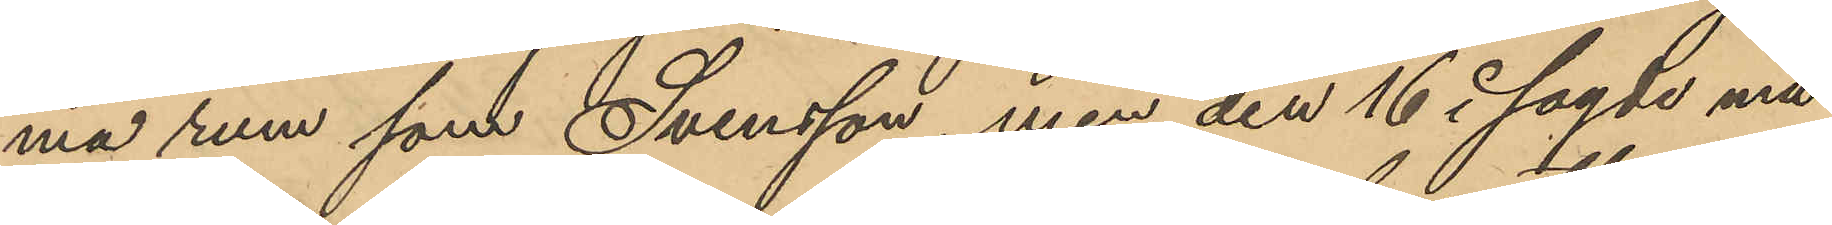ma rum som Svensson, men den 16 i sagde må¬
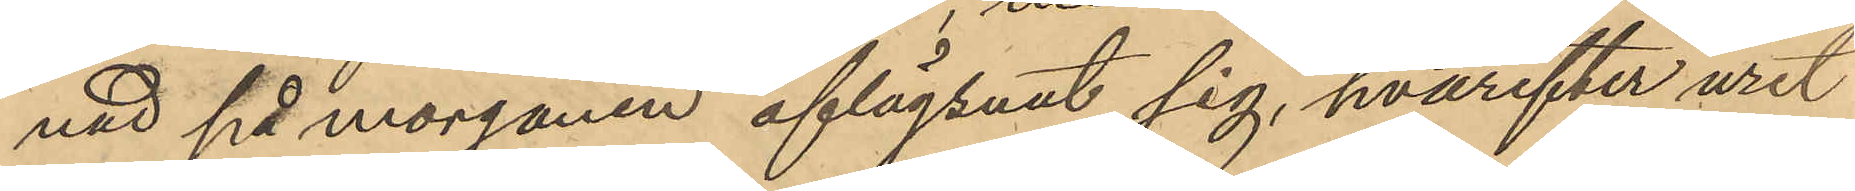nad på morgonen aflägsnat sig, hvarefter uret
